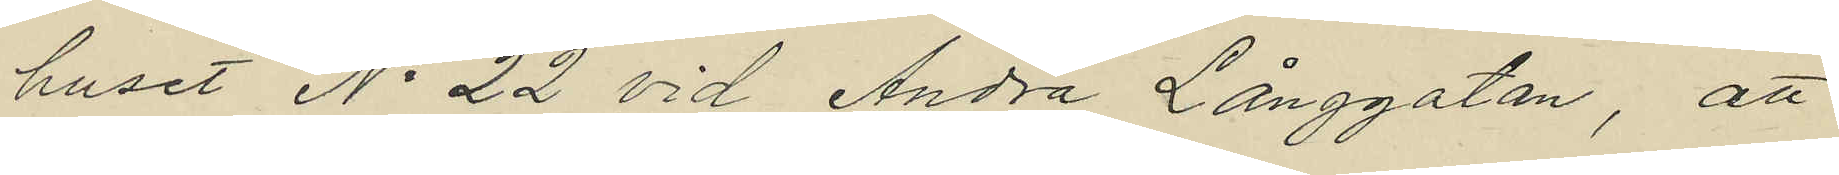huset No 22 vid Andra Långgatan, att
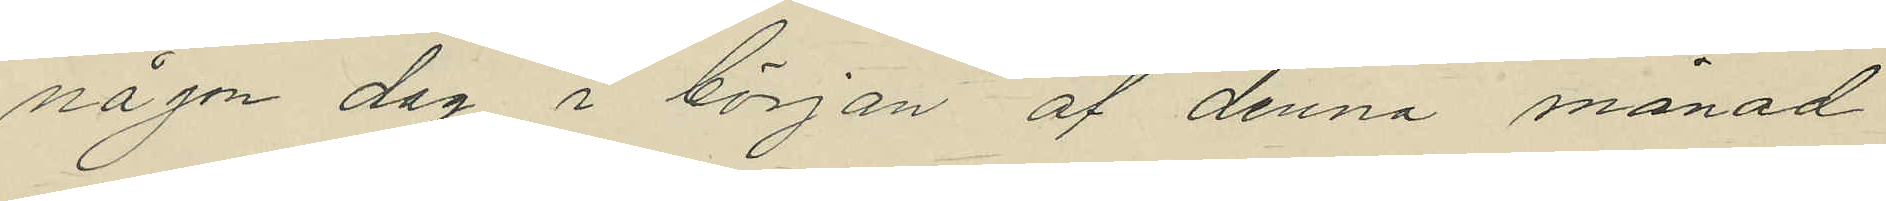någon dag i början af denna månad
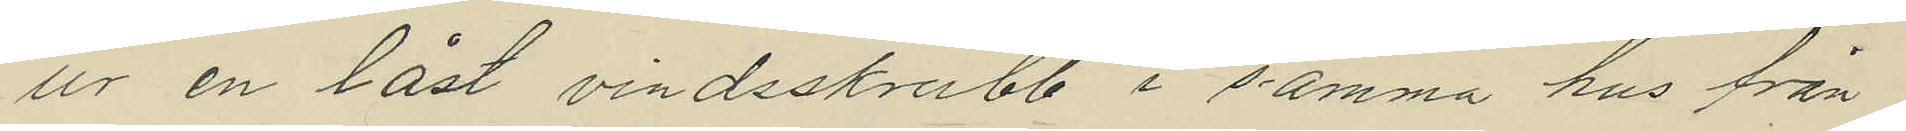ur en låst vindsskrubb i samma hus från
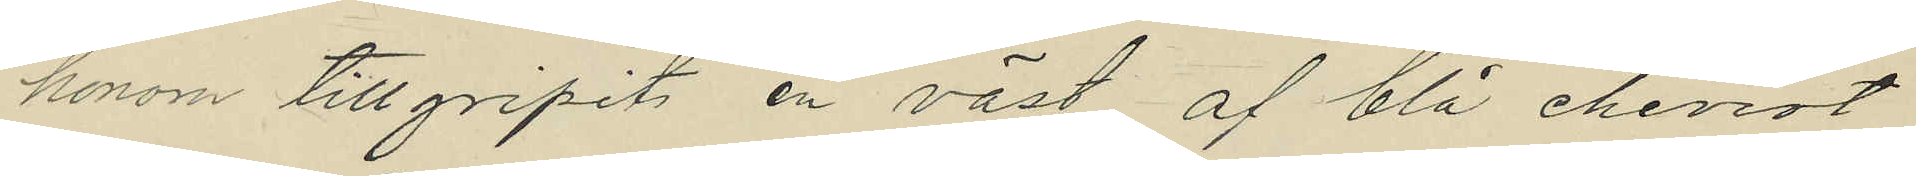honom tillgripits en väst af blå cheviot,
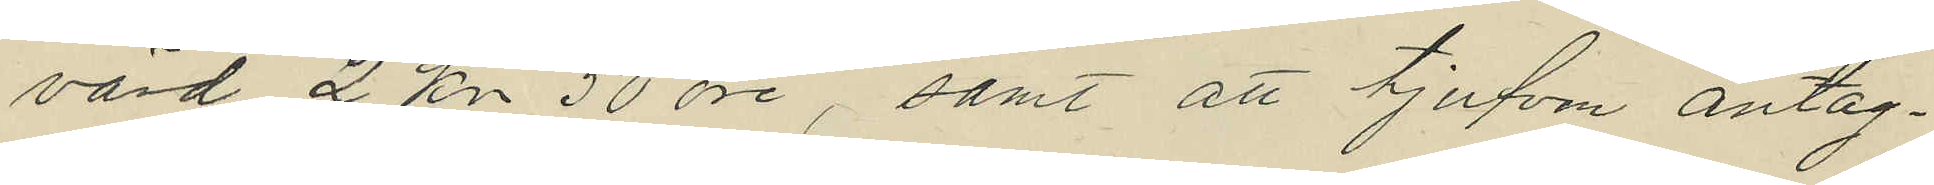värd 2 kr 50 öre, samt att tjufven antag¬
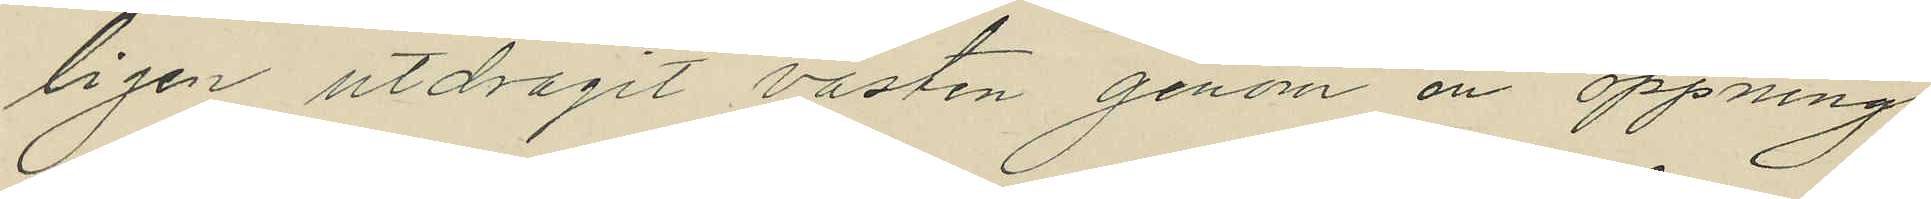ligen utdragit västen genom en öppning
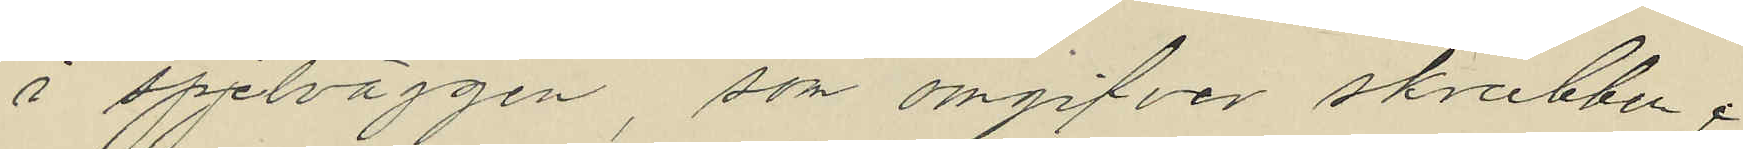å spjelväggen, som omgifver skrubben,
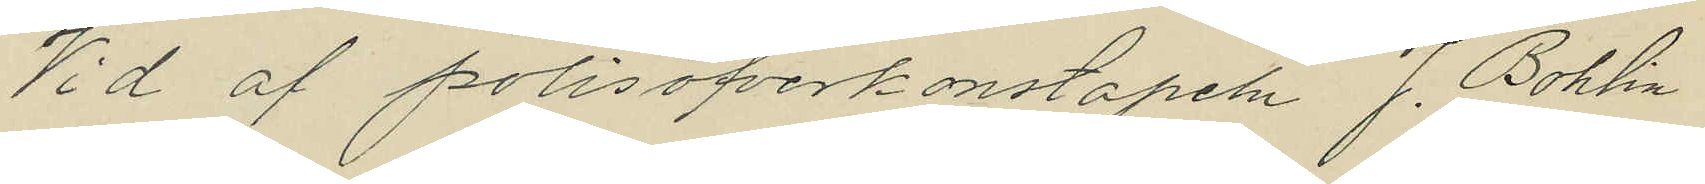Vid af polisöfverkonstapeln J. Bohlin
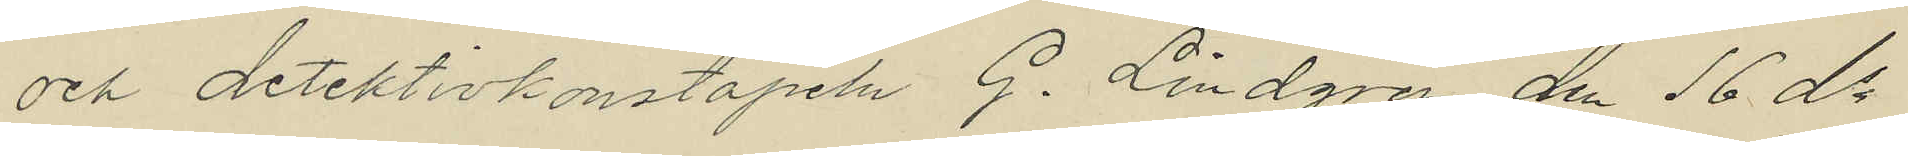och detektivkonstapeln G. Lindgren den 16 ds
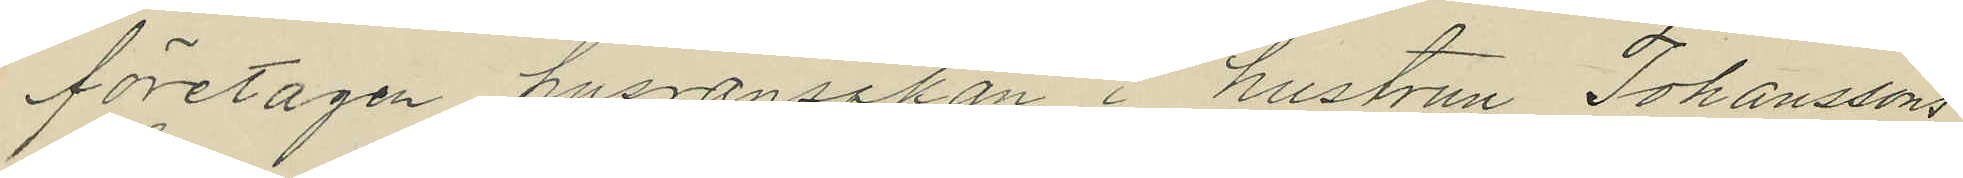företagen husransakan i hustrun Johanssons
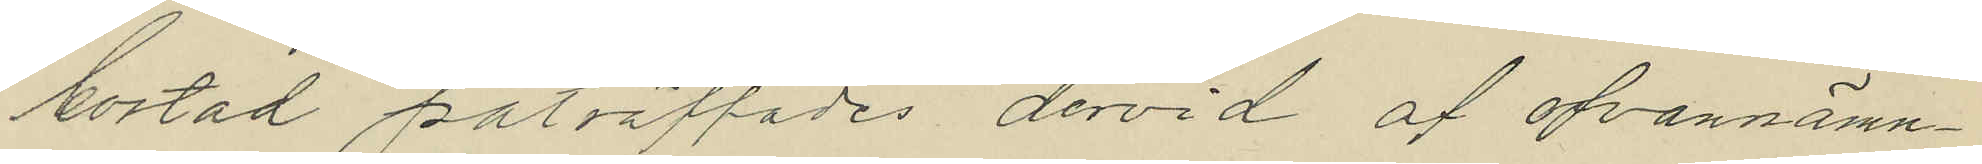bostad påträffades dervid af ofvannämn¬
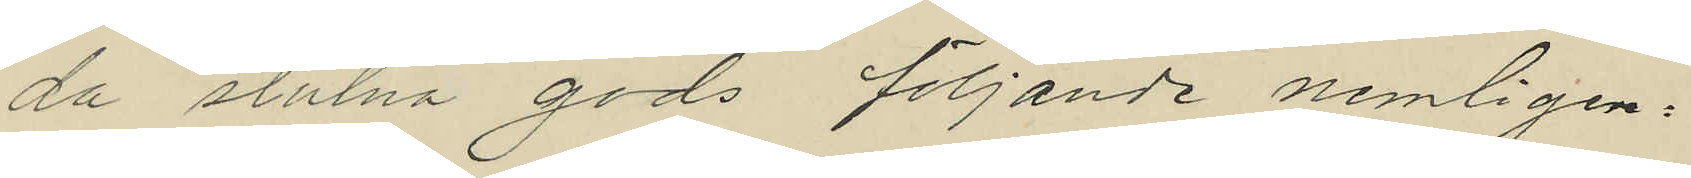da stulna gods följande nemligen:
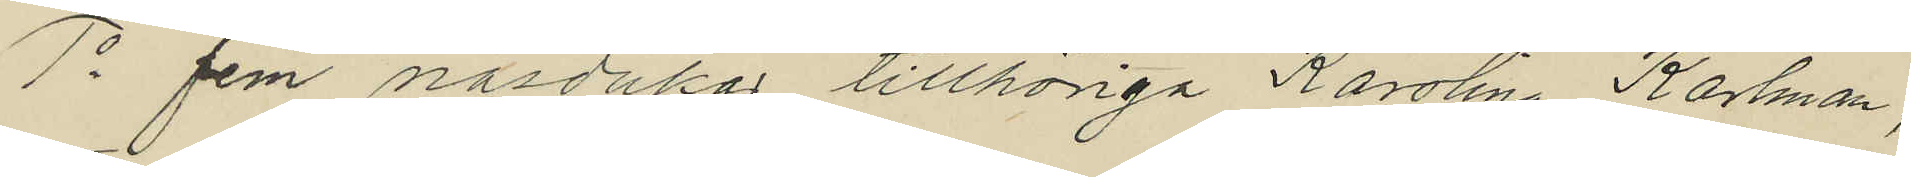1o fem näsdukar tillhöriga Karolina Karlman,
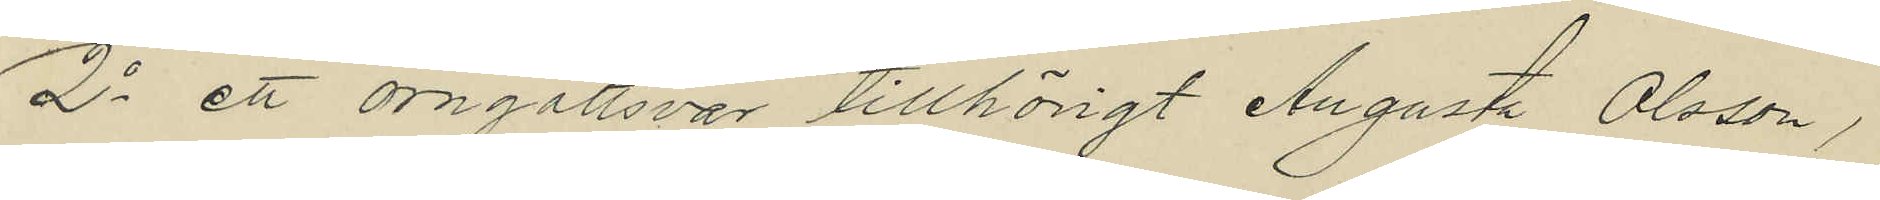2o ett örngåttsvar tillhörigt Augusta Olsson,
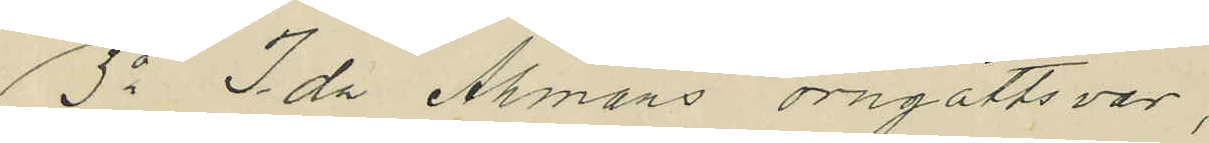3o Ida Åhmans örngåttsvar,
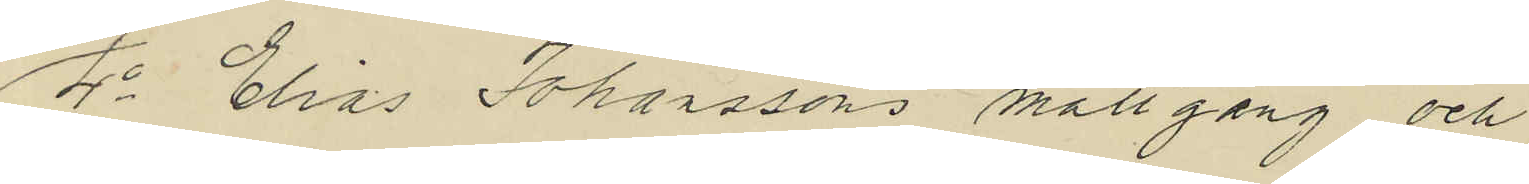4o Elias Johanssons mattgång och
